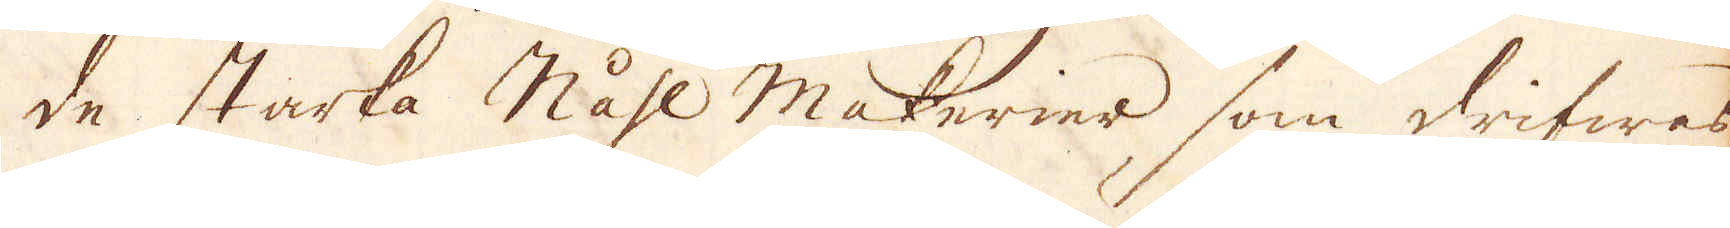de starka Nåhl makerier som drifwes
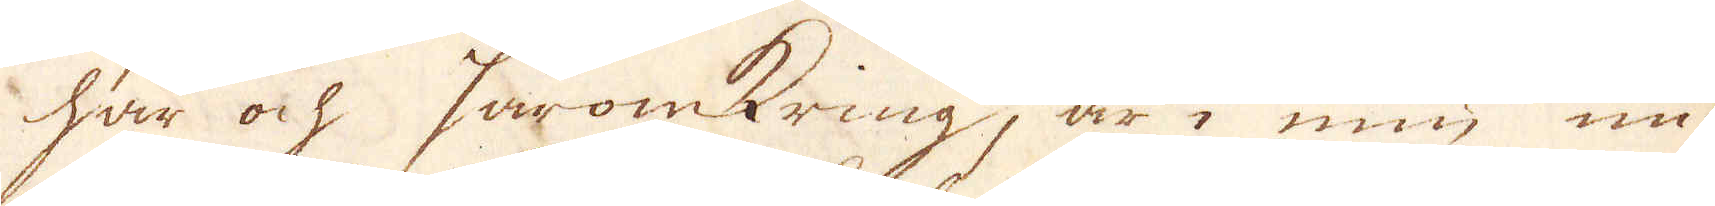här ock häromkring, är i min un-
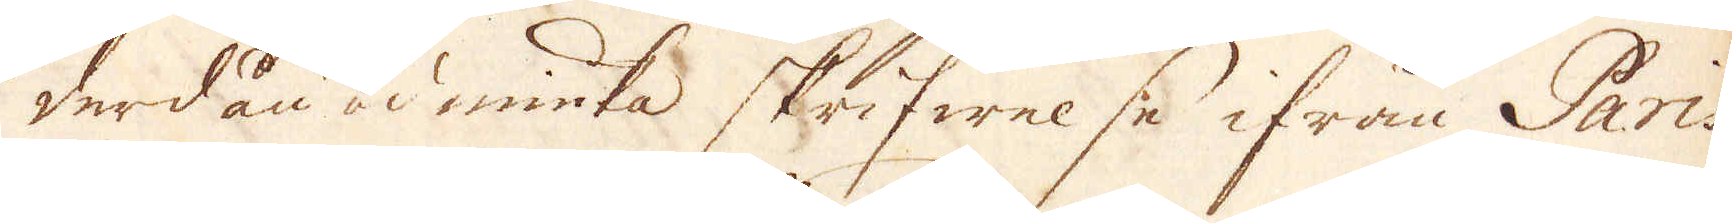derdån-ödmiuka skrifwelse ifrån Paris
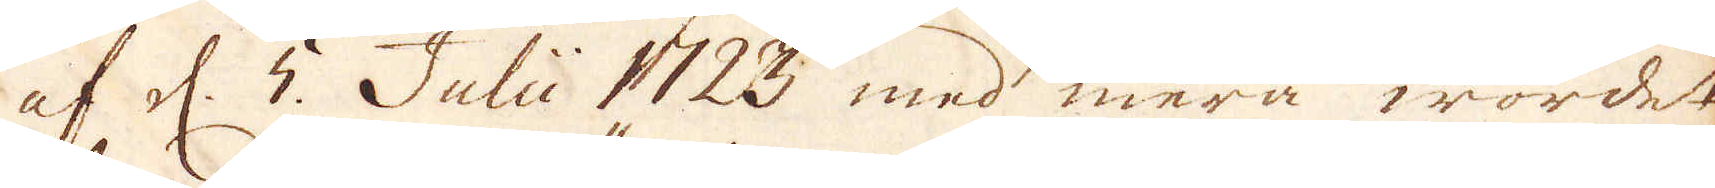af d. 5 Julii 1723 med mera wordet.
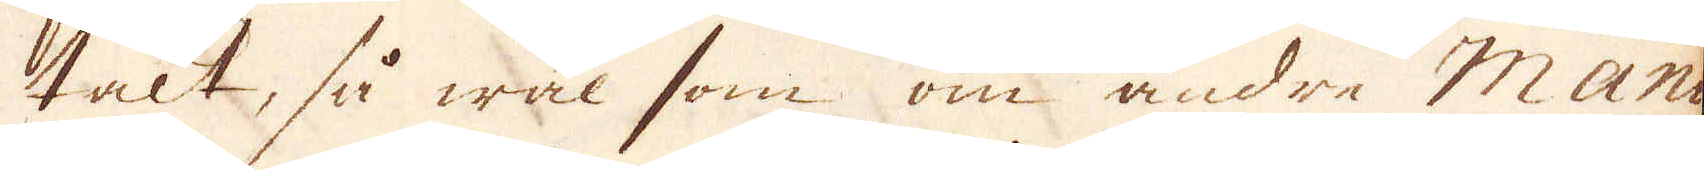talt, så wäl som om andre Manu-
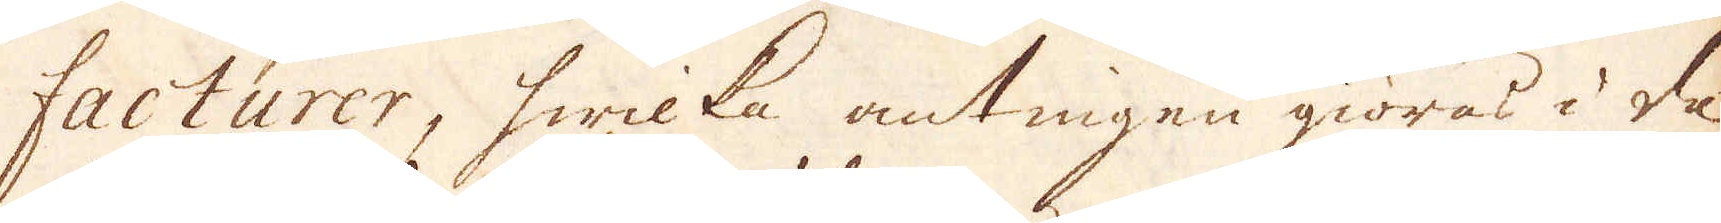facturer, hwilka antingen giöras i de
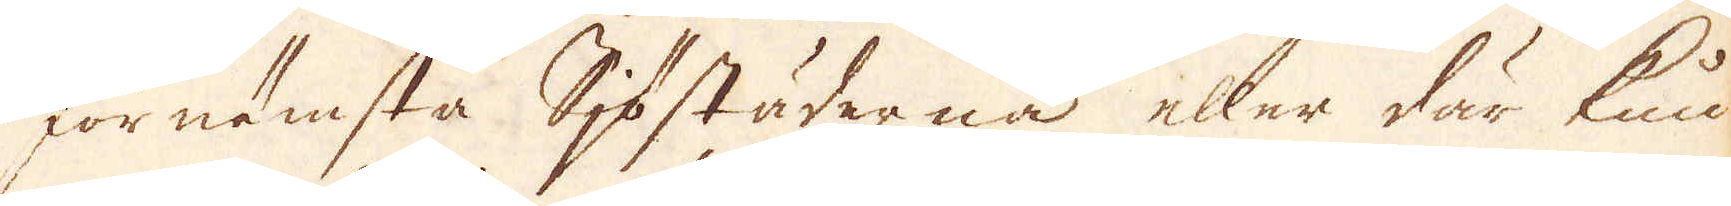förnämsta Sjöstäderna eller där kun-
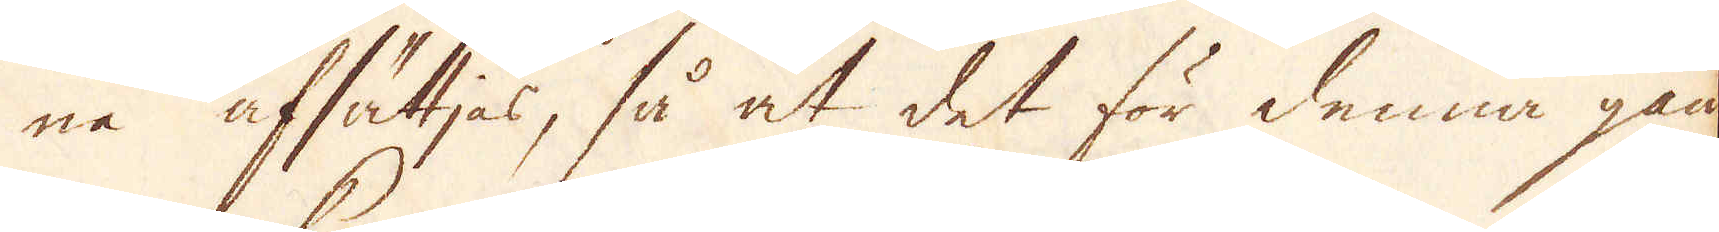na afsättjas, så at det för denna gån-
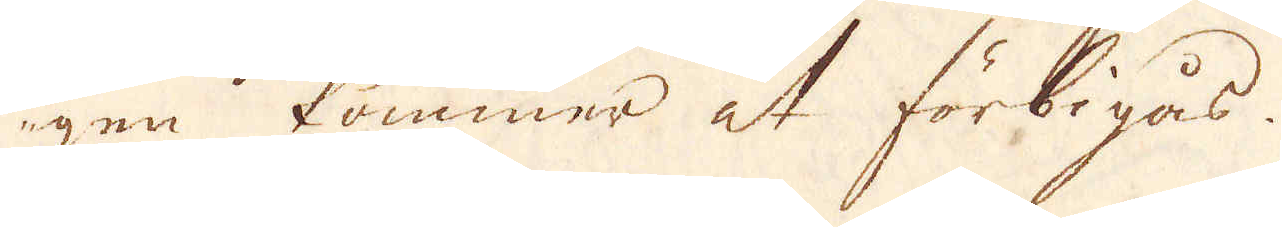gen kommer at förbigås.
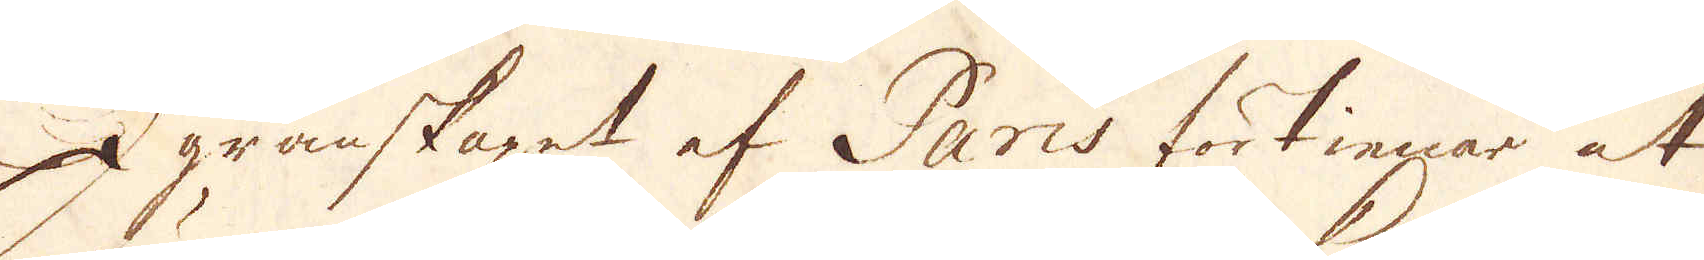I granskapet af Paris förtienar at
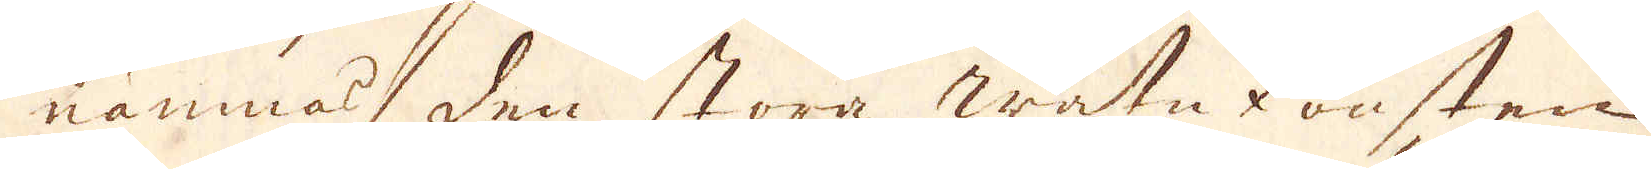nämnas, den stora watukonsten
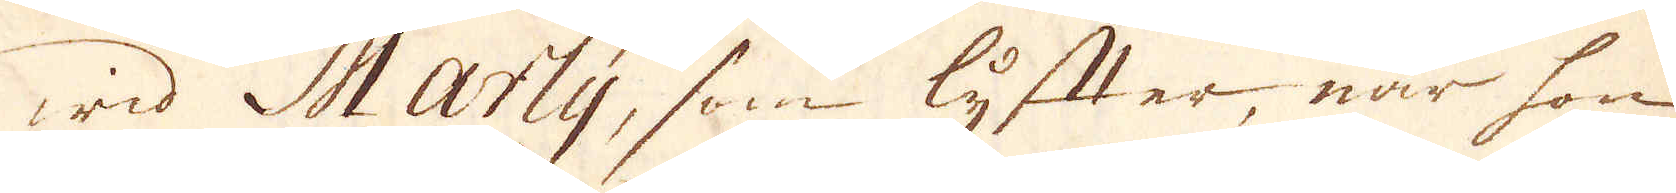wid Marly, som lyfter, när hon
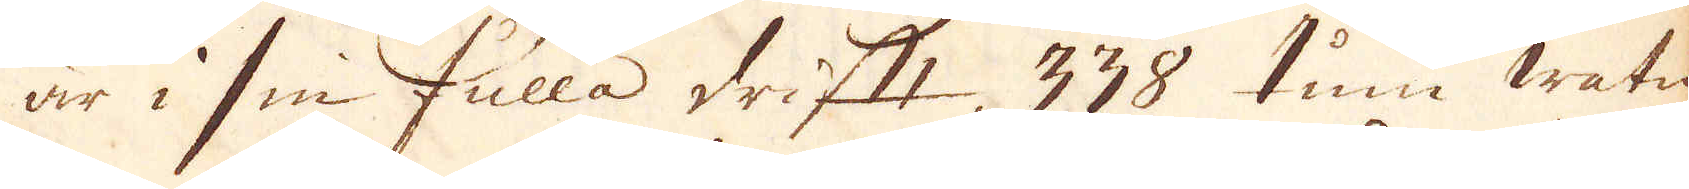är i sin fulla drift, 338 tum watn
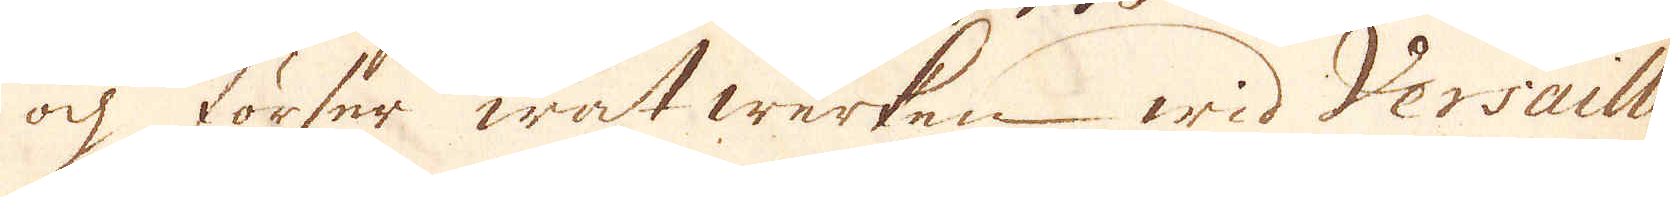ock förser wat werken wid Versaille
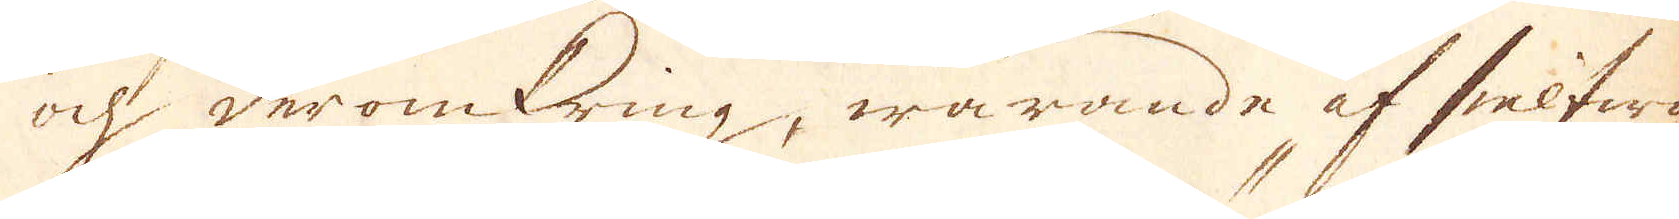och deromkring, warande af sielfwe
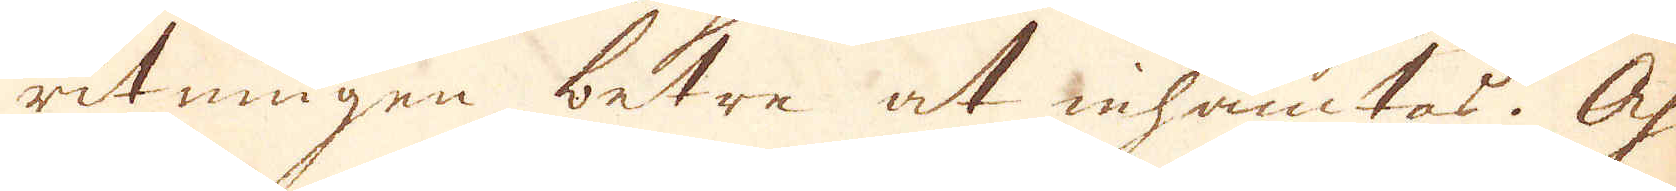ritningen betre at inhämtas. Och
